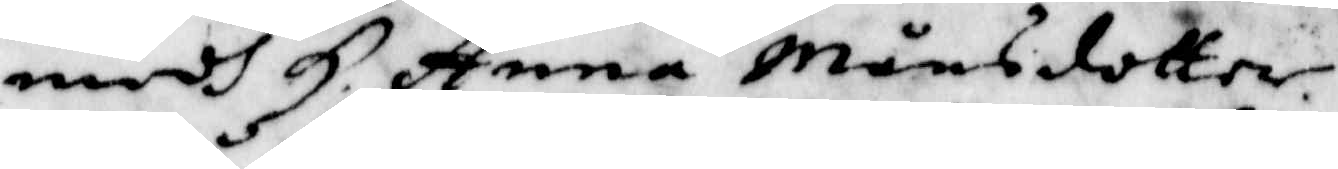medh H. Anna Månsdotter. 
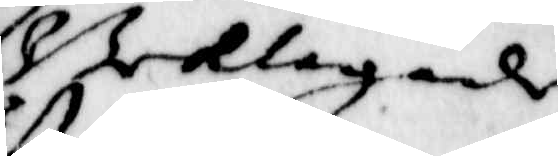Beklagade
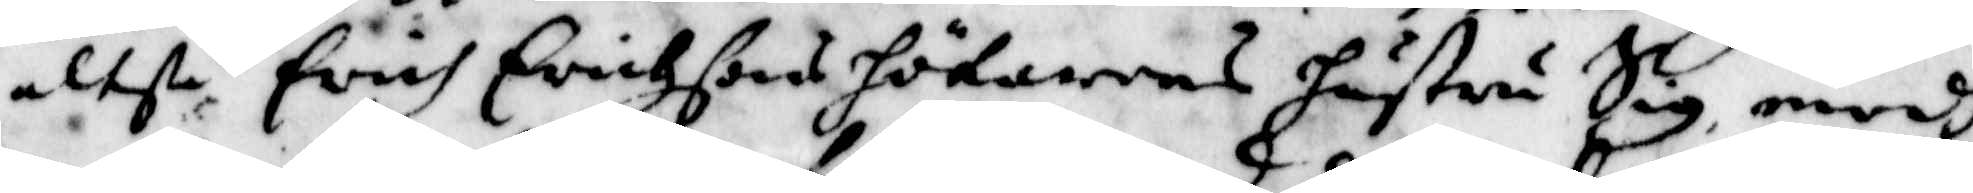altså erich Erichsons hökarens hustru Sig, medh
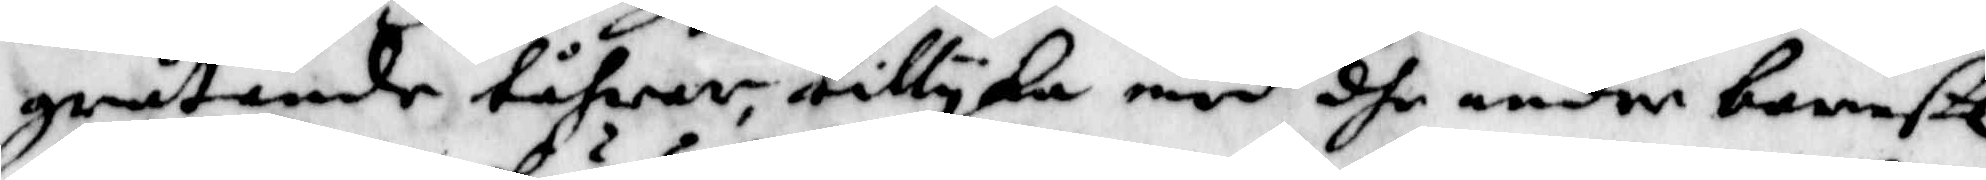gråtande tåhrar tillyka med dhe andre barnset
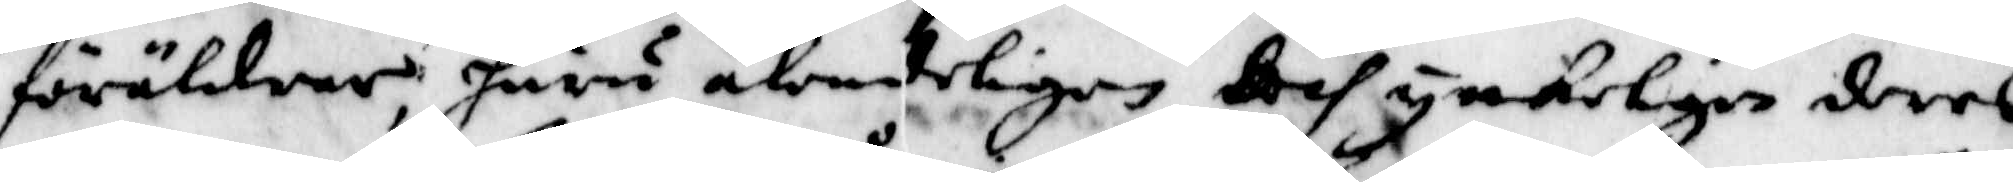föräldrar, huru älendeligen des ynkeligen deras
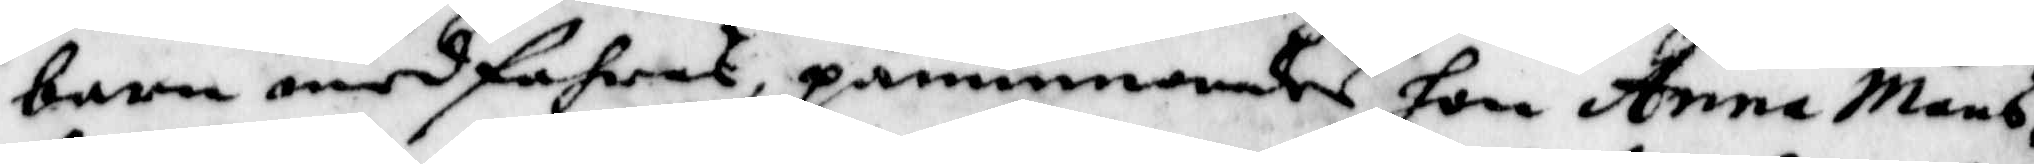barn medfahret, påminnandes hon Anna Måns¬
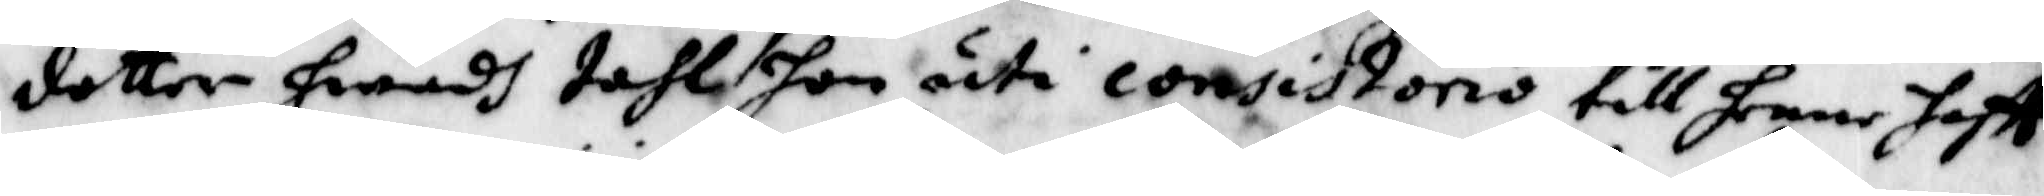dotter hwadh tahl hon uti consistorio till henne haftt
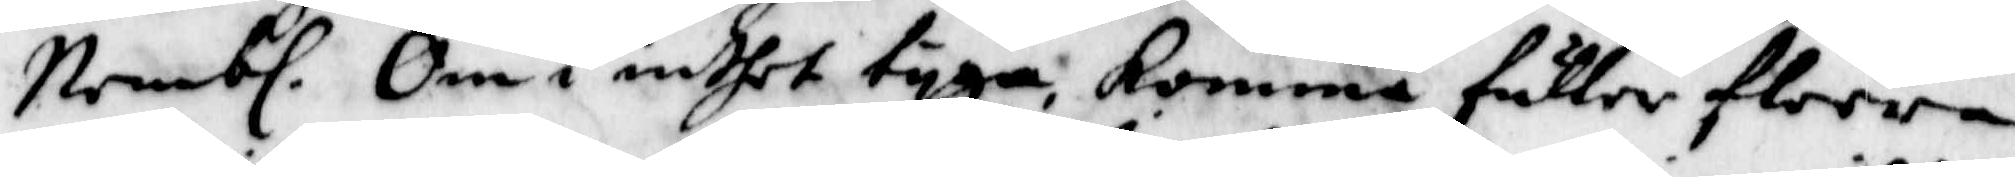Nembl. Om i intet tyga, komma fuller flera
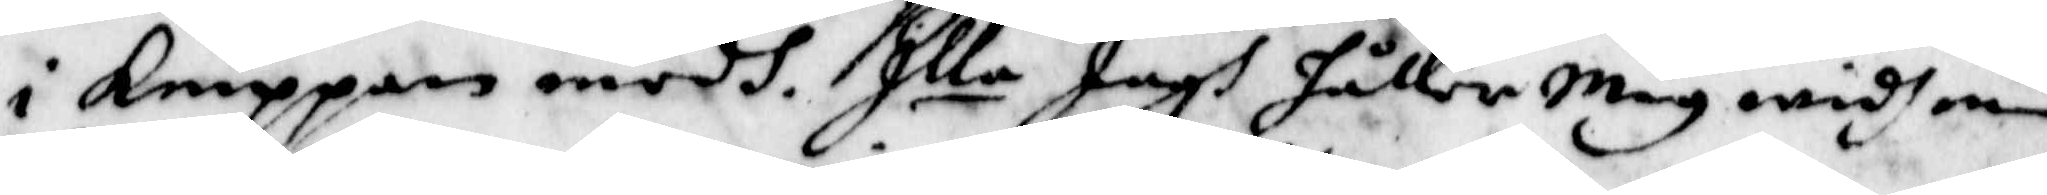i knippan medh. Illa Jagh håller Mig widh min
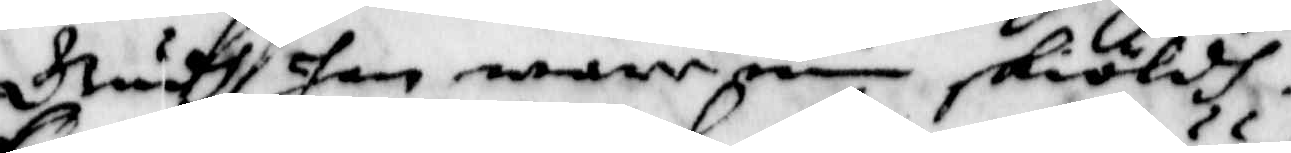Gudh han ware min skiöldh!
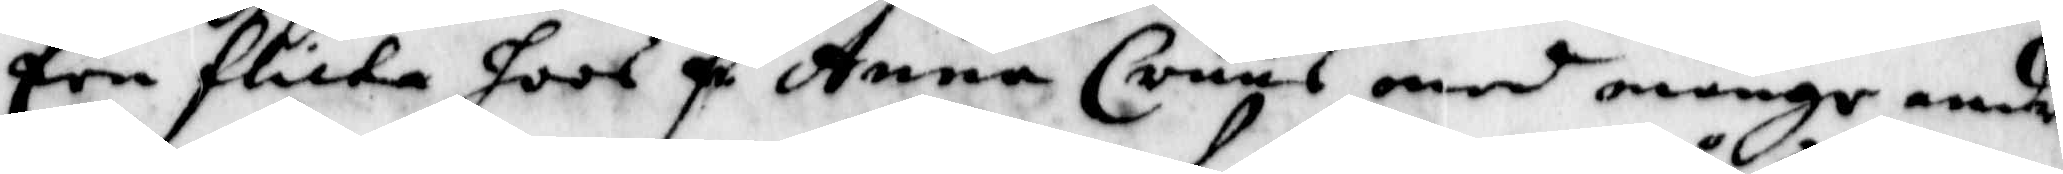Een flicka hoos F. Anna Cruus med månge andre
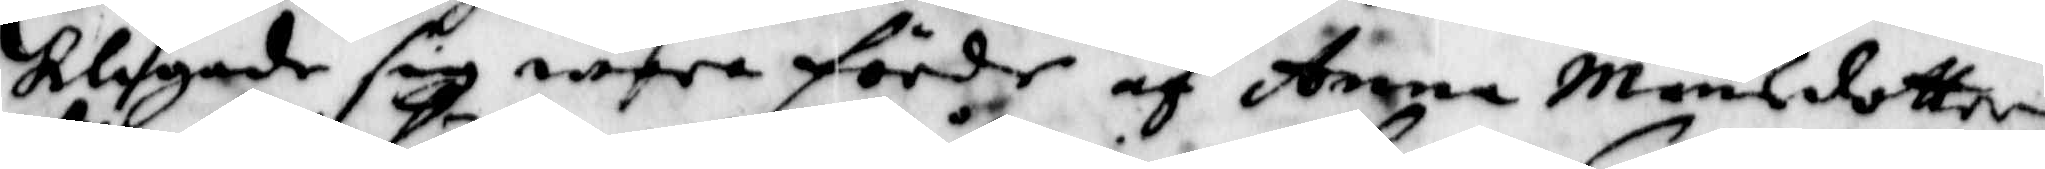klagade sig wara förder af Anna Månsdotter
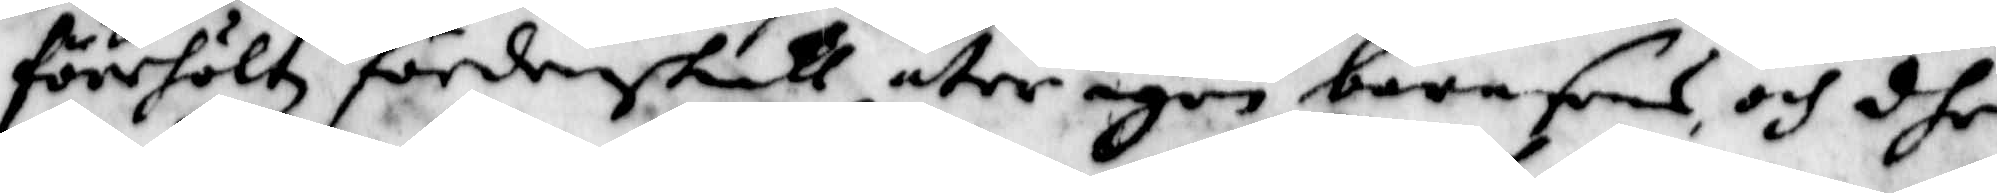förehöltz fördenskull åter igen barnsens och dhe
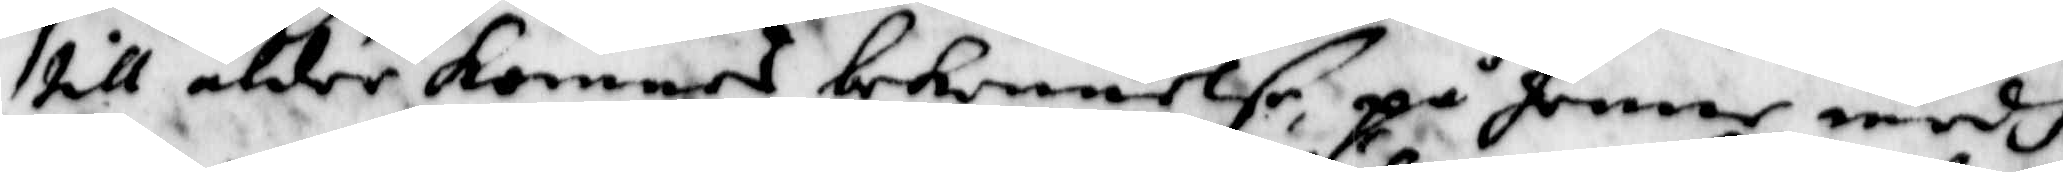till ålder komnes bekennelse, på henne medh
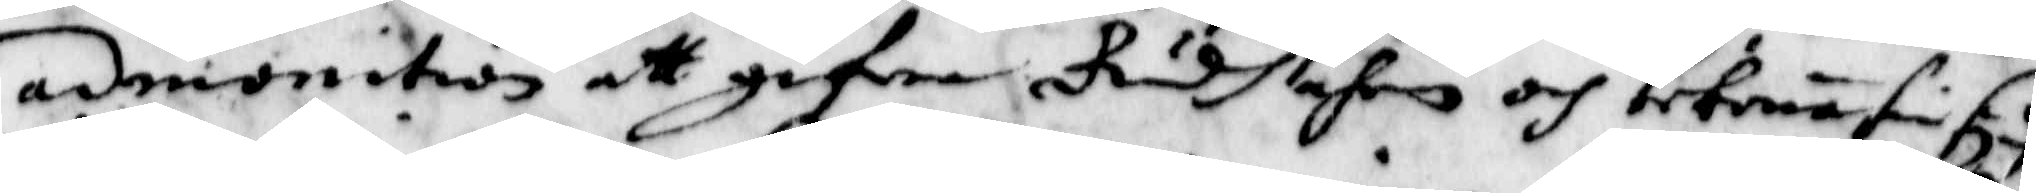admonition att gifwa Gudh ähen och bekena sin synd
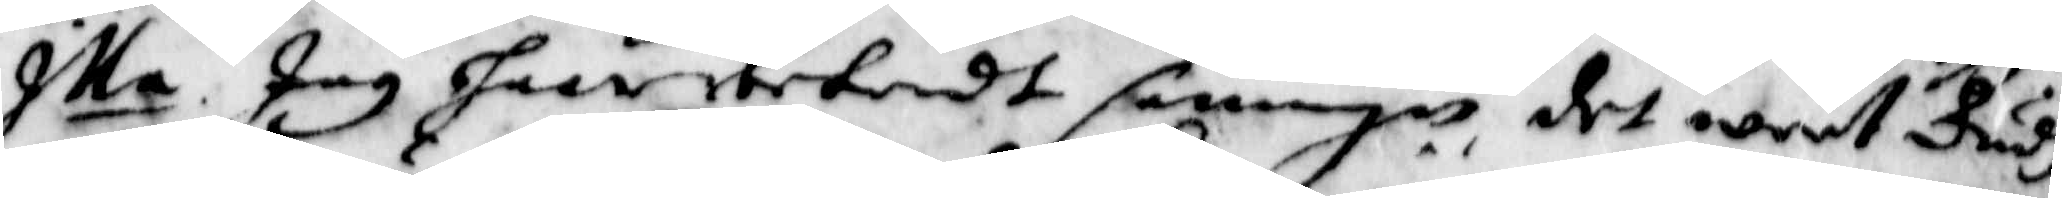Illa Jag haar bekendt sanningen det weet Gudh
